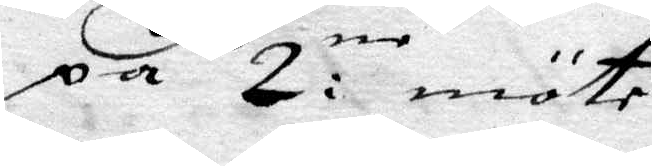på 2:ne möte
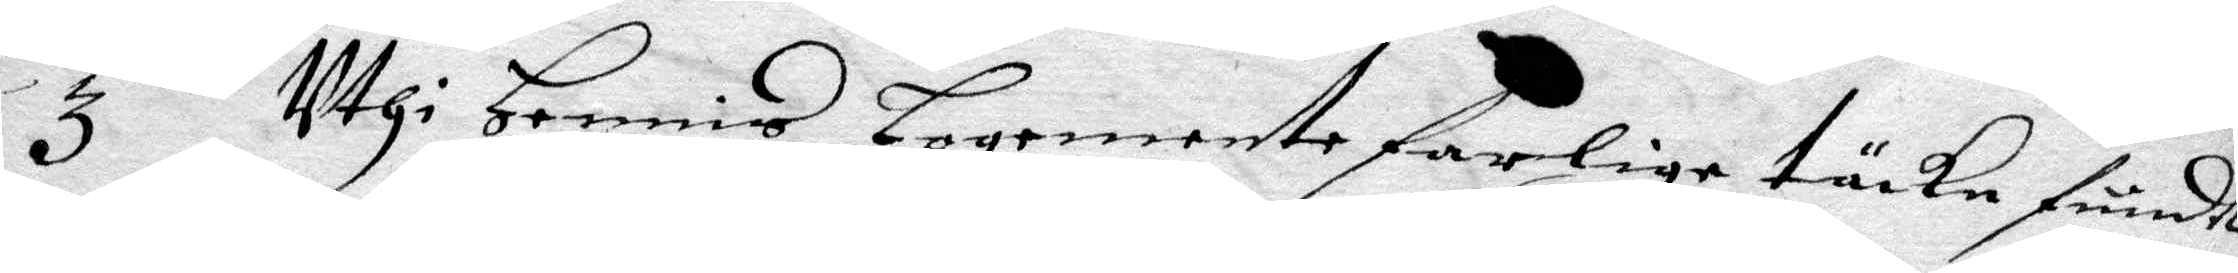3 Ithi Hennis Logemente farlige täcke fundt
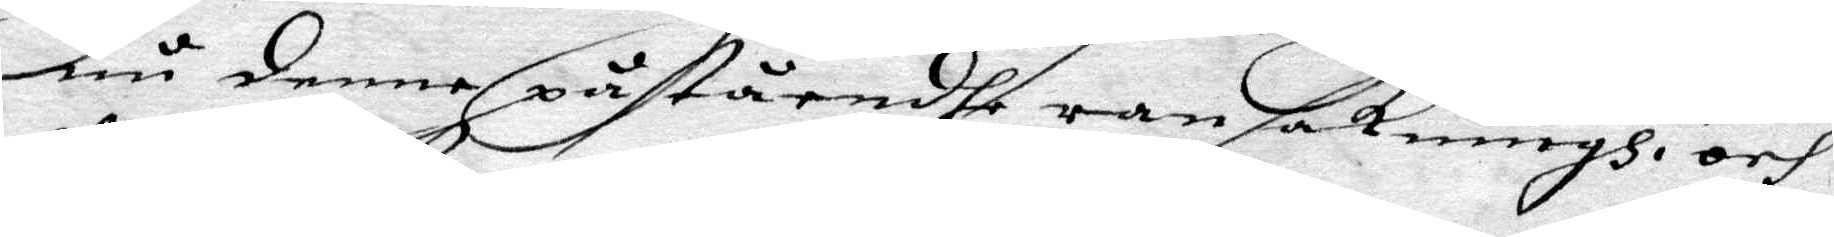nu denne påståendhe ransakningh och
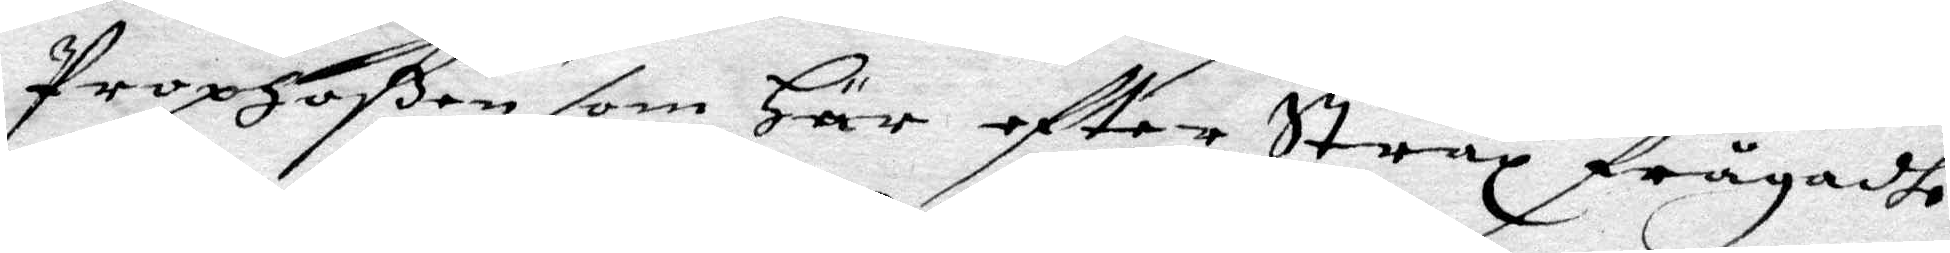Prophoßen som Här eftter Strax frågadhe
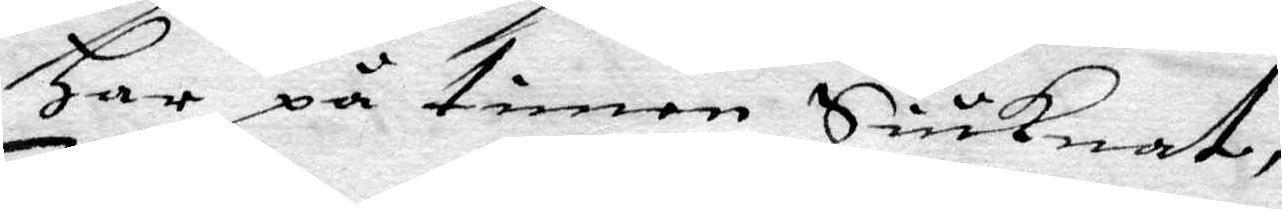Har på timen Siuknat,
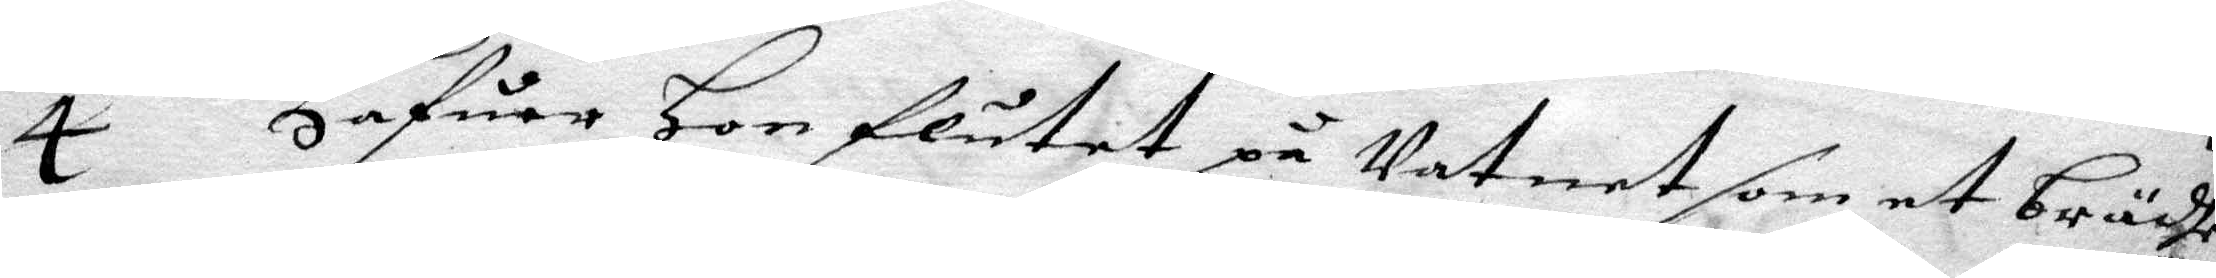4 Hafuer Hon flutet på Vatnet som et brädhe
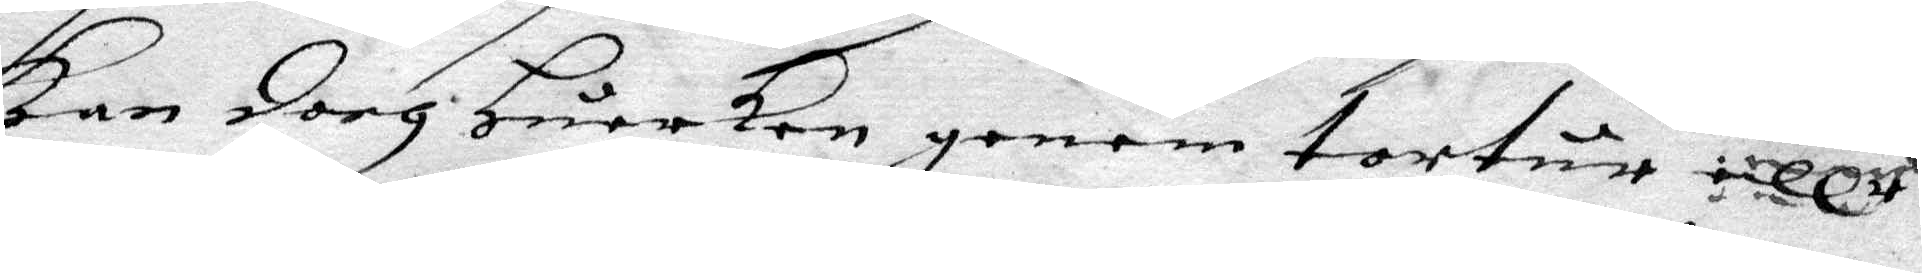kan doch Huarken genom tortur eller
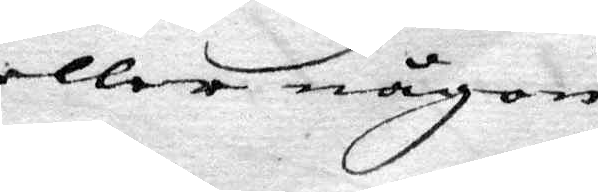eller någon
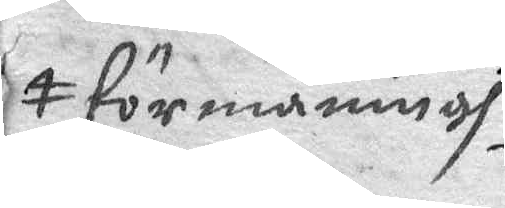förmaningh
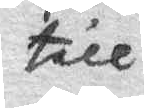till
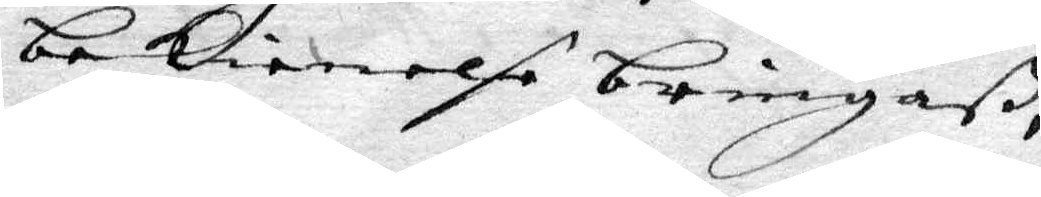bekiennelse bringaß,
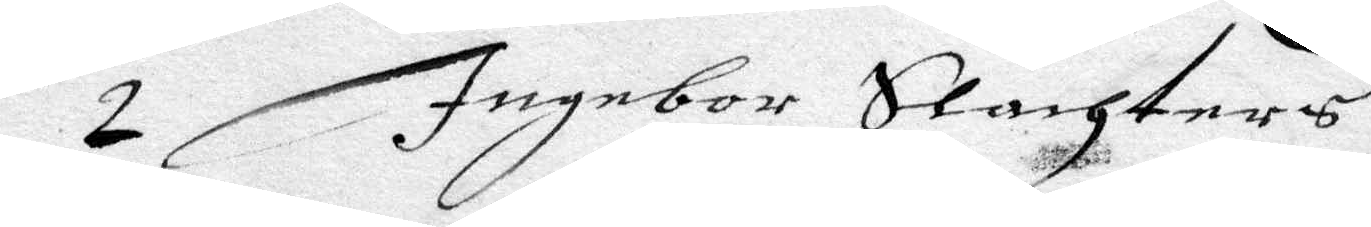2 Ingebor Slachters
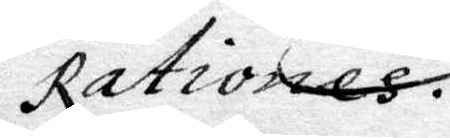Rationes.
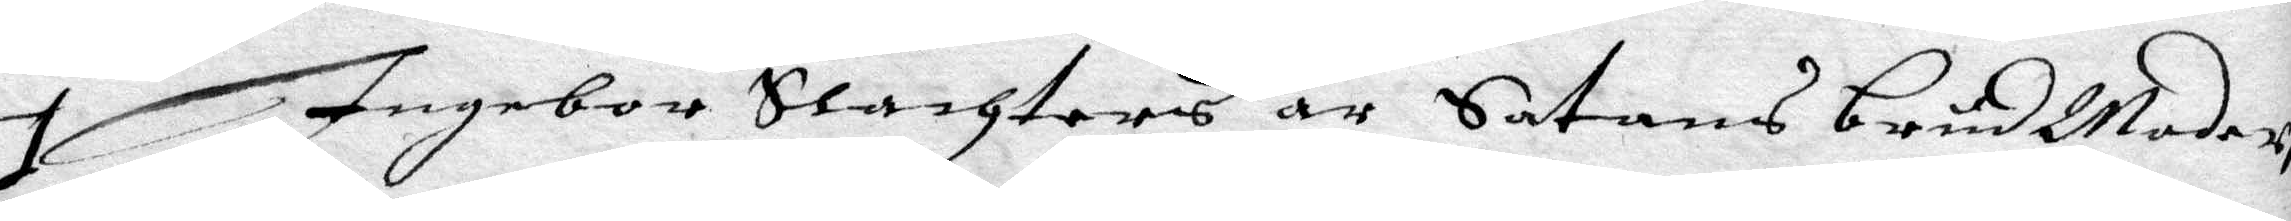1 Ingebor Slachters är Satans brudModer,
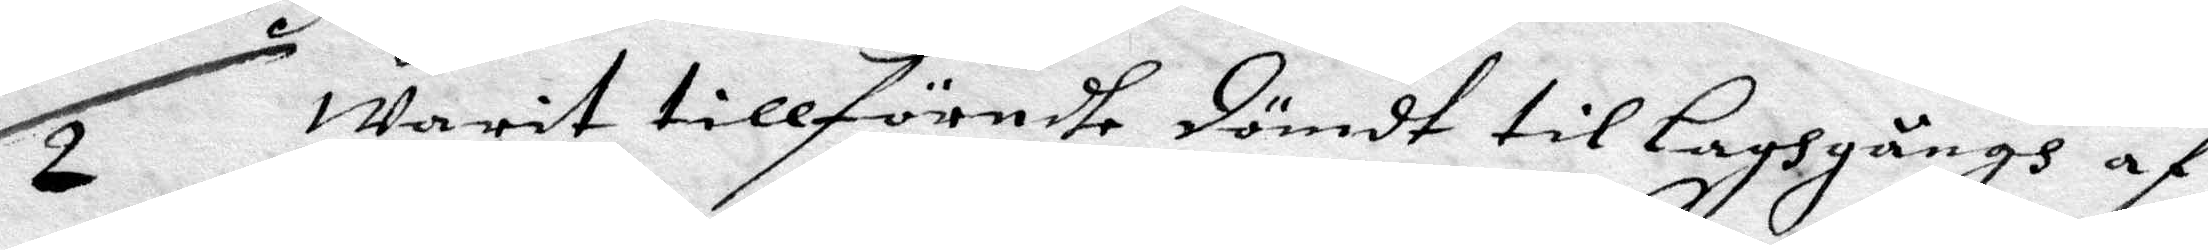2 warit tillförendhe dömdt till Laghgångh af
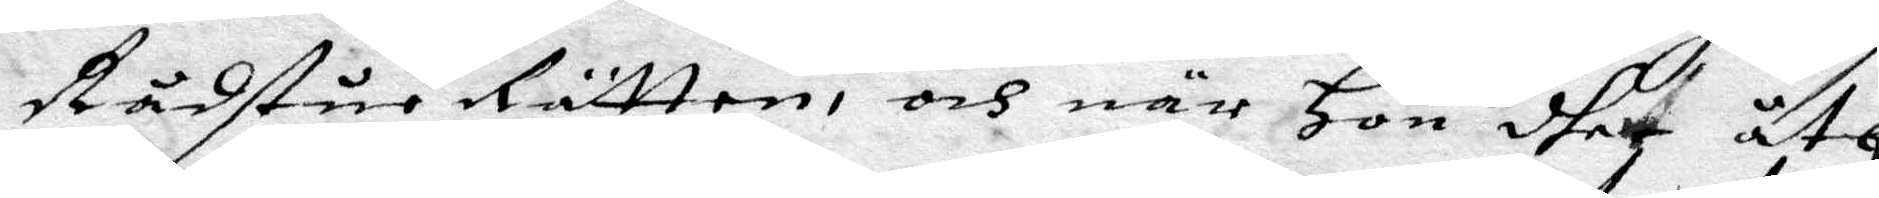Rådstue Rätten, och när Hon dher åth
